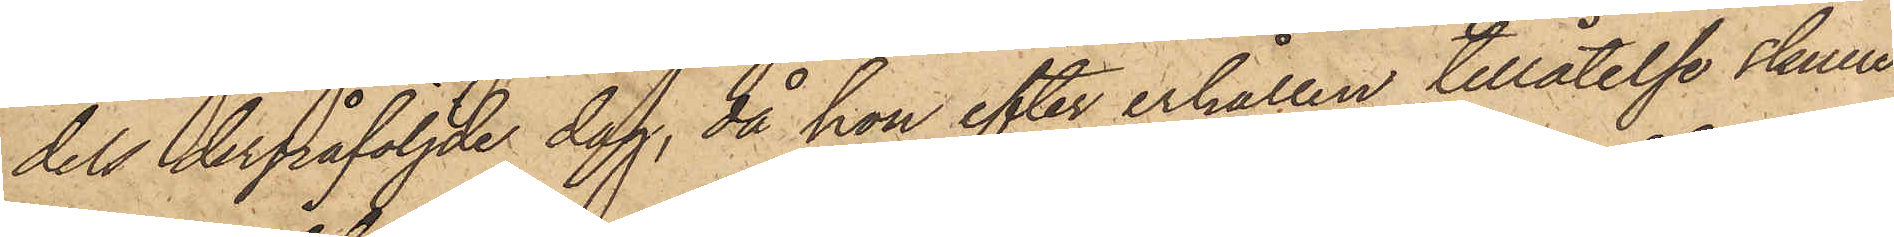dels derpåföljde dag, då hon efter erhållen tillåtelse skulle
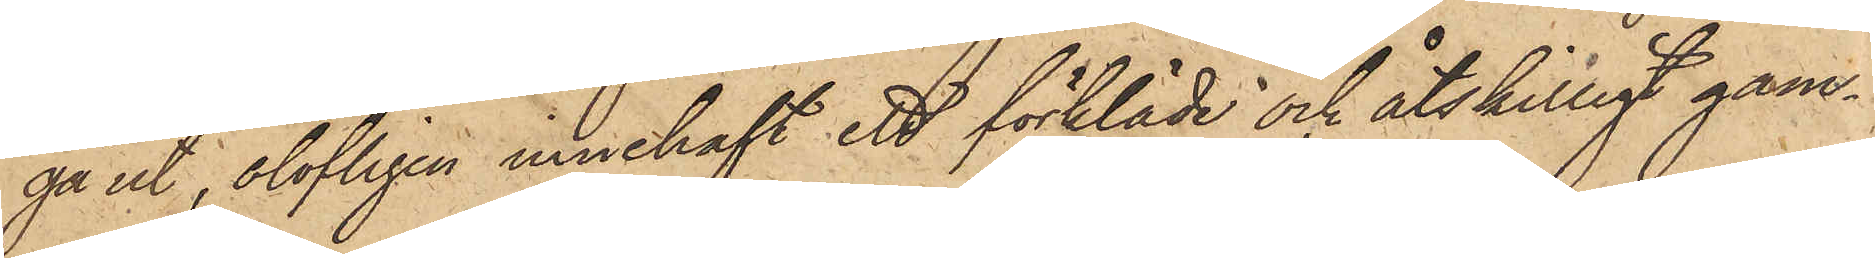gå ut, olofligen innehaft ett förkläde och åtskilligt gam¬
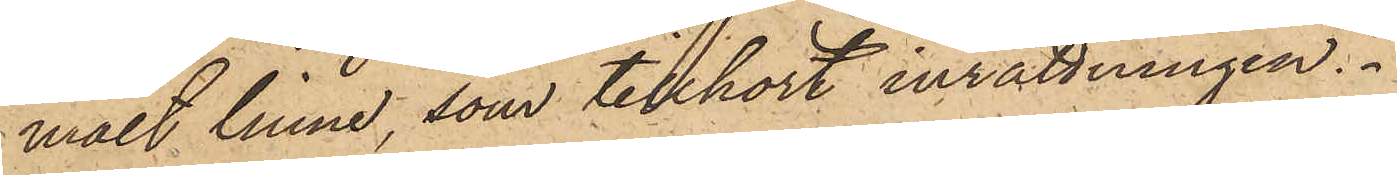malt linne, som tillhört inrättningen.
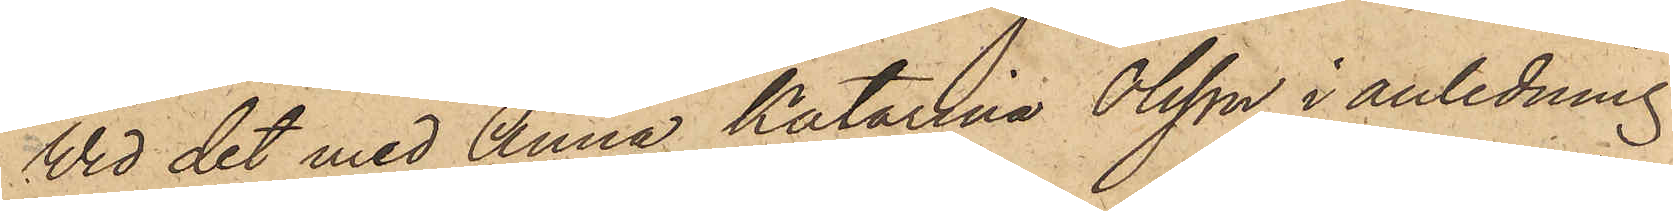Vid det med Anna Katarina Olsson i anledning
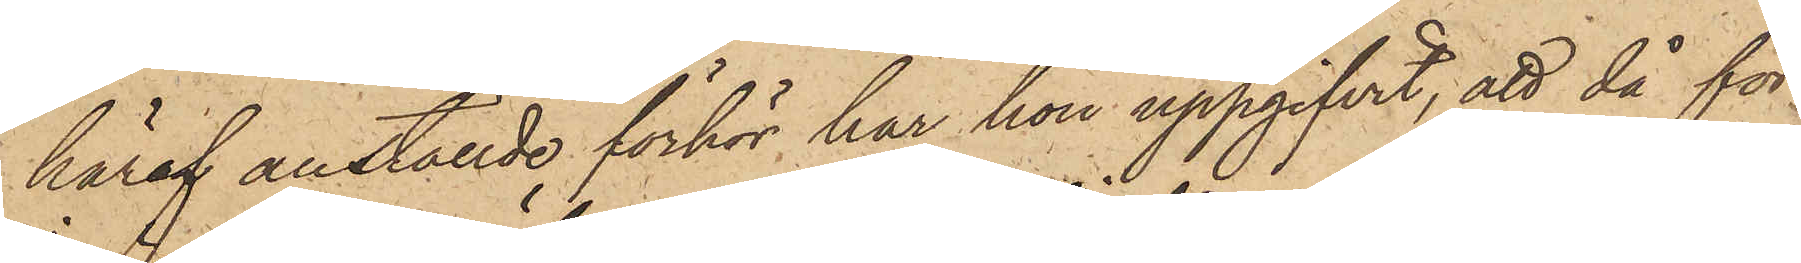häraf anställde förhör har hon uppgifvit, att då för
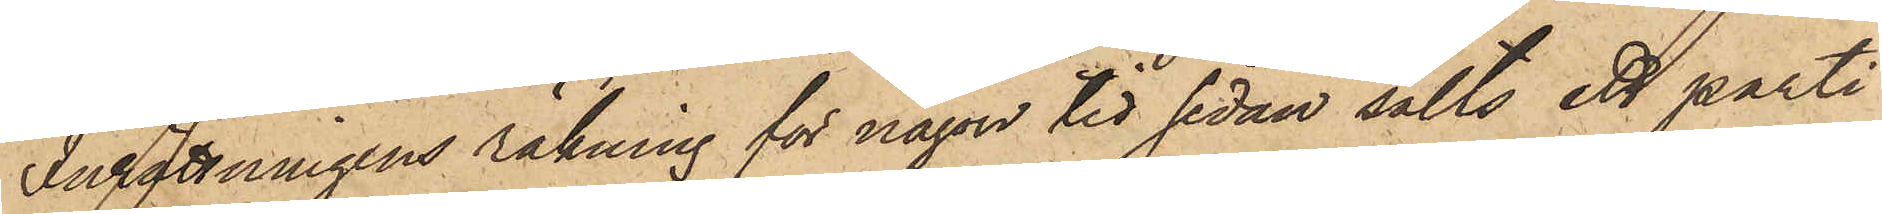Inrättningens räkning för någon tid sedan sålts ett parti
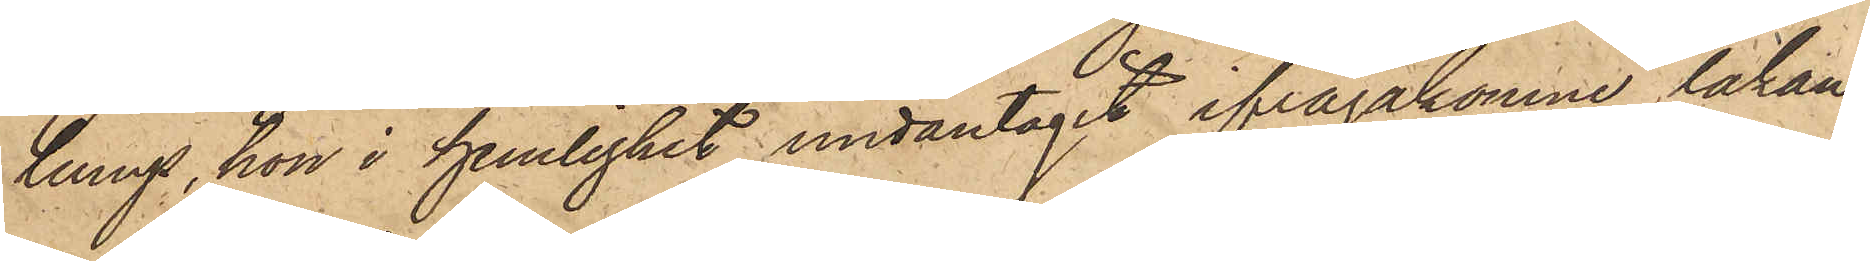lump, hon i hemlighet undantagit ifrågakomne lakan,
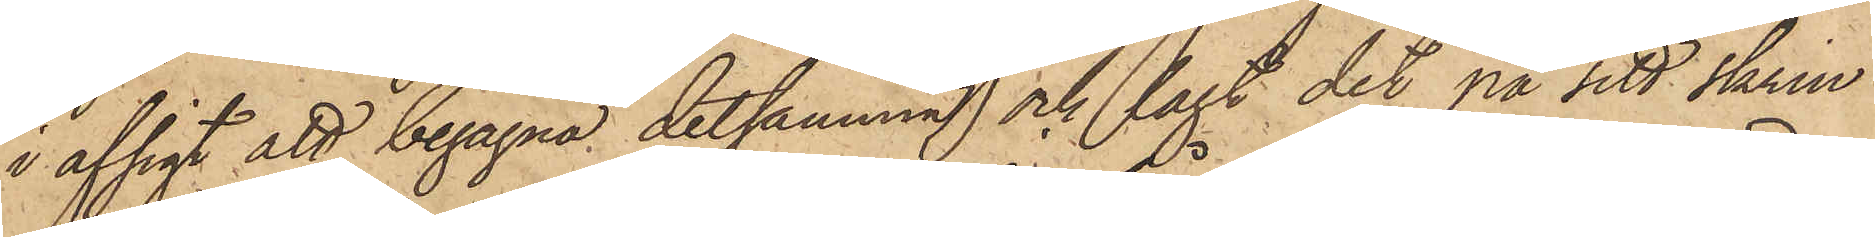i afsigt att begagna detsamman och lagt det på sitt skrin
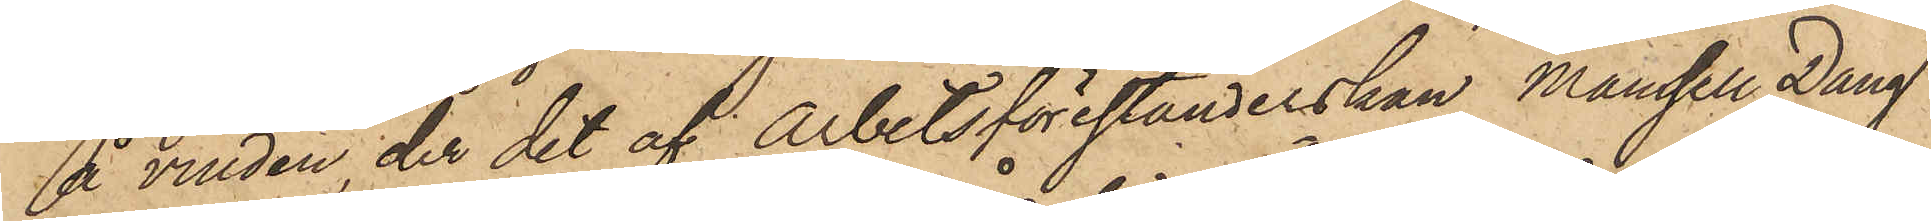å vinden, der det af Arbetsförestånderskan Mamsell Daug
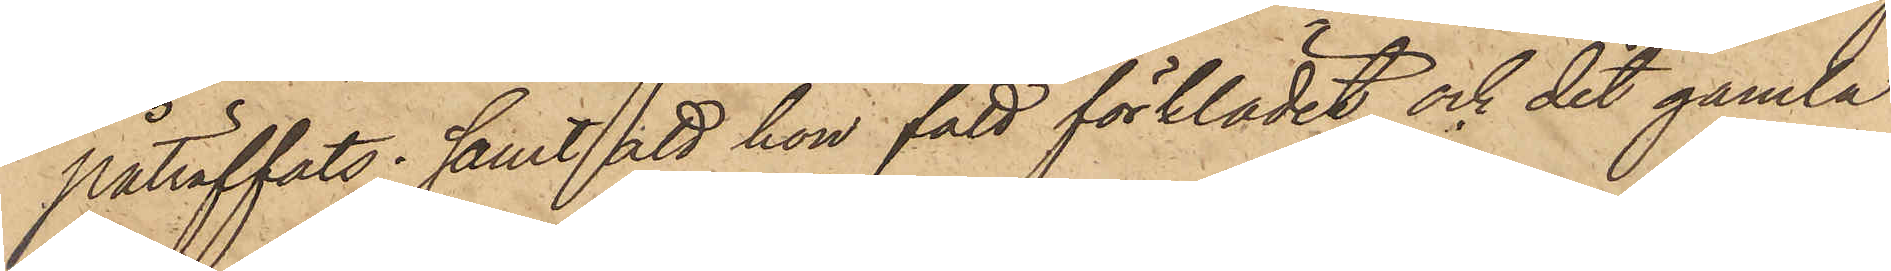påträffats; samt att hon fått förklädet och det gamla
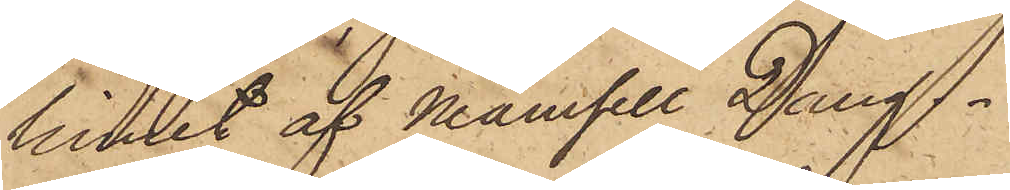linnet af Mamsell Daug.
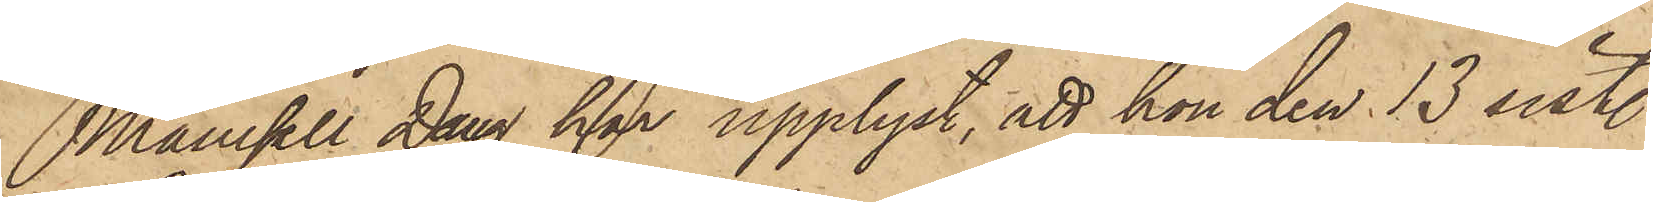Mamsell Daug har upplyst, att hon den 13 sist.
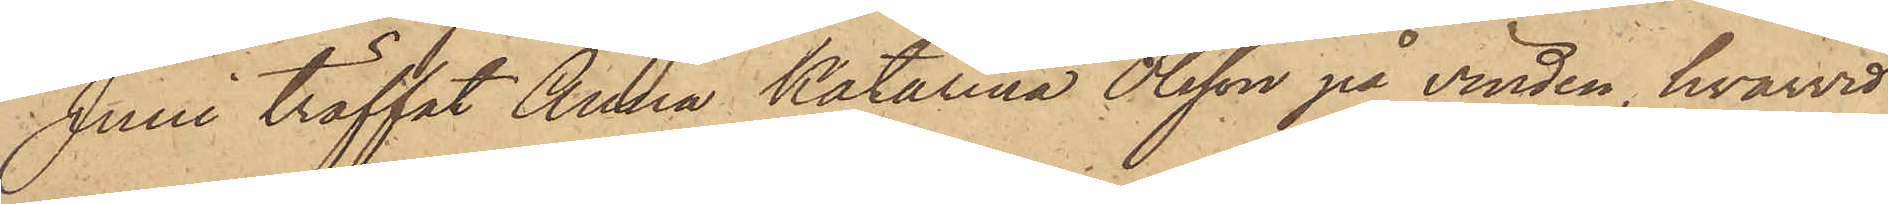Juni träffat Anna Katarina Olsson på vinden, hvarvid
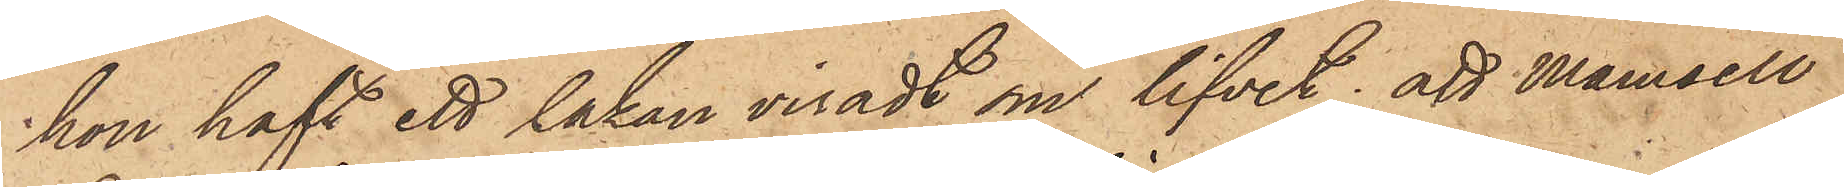hon haft ett lakan viradt om lifvet; att Mamsell
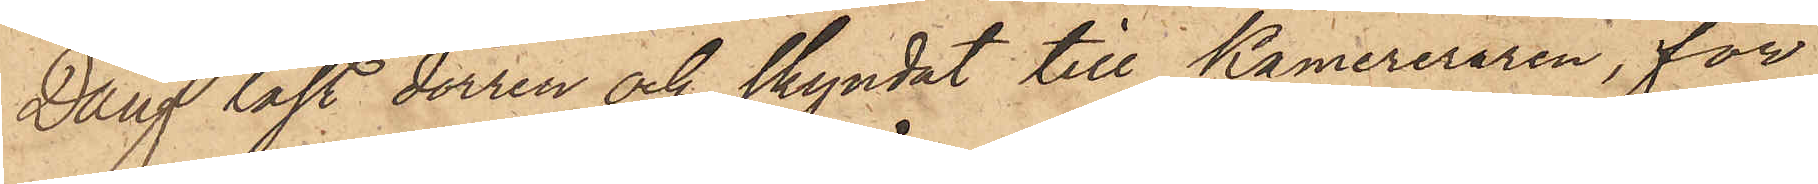Daug låst dörren och skyndat till Kamereraren, för
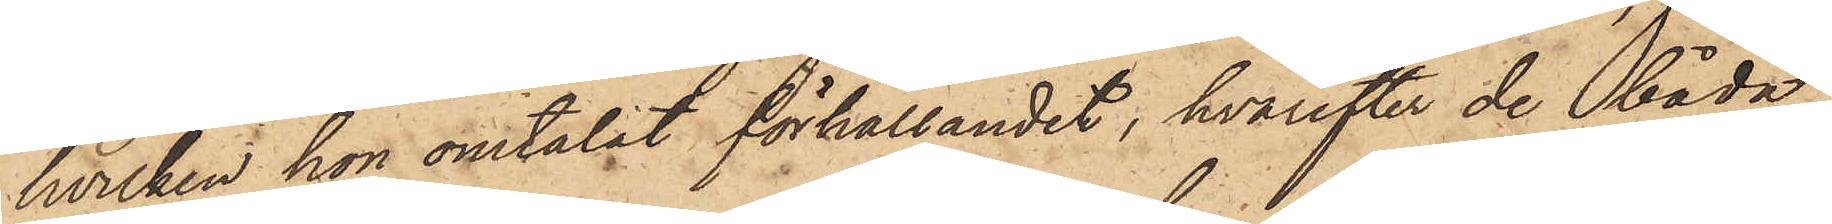hvilken hon omtalat förhållandet, hvarefter de båda
